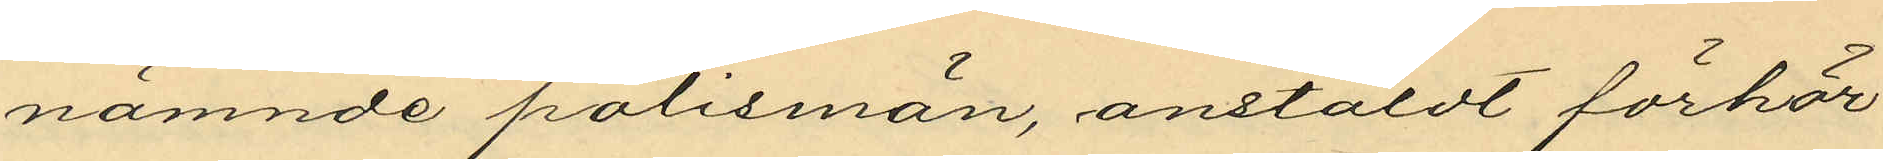nämnde polismän, anstäldt förhör
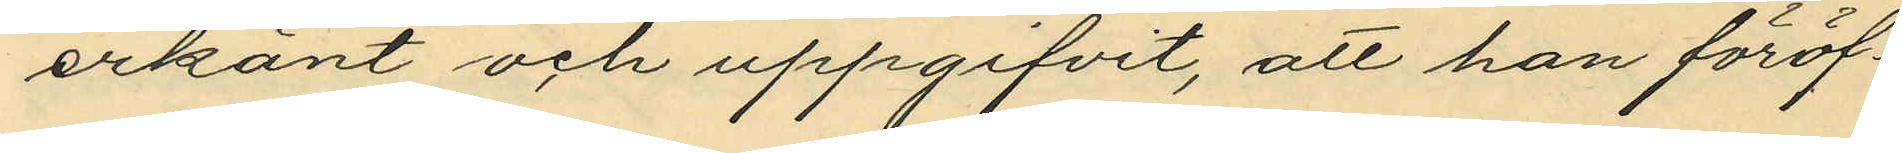erkänt och uppgifvit, att han föröf¬
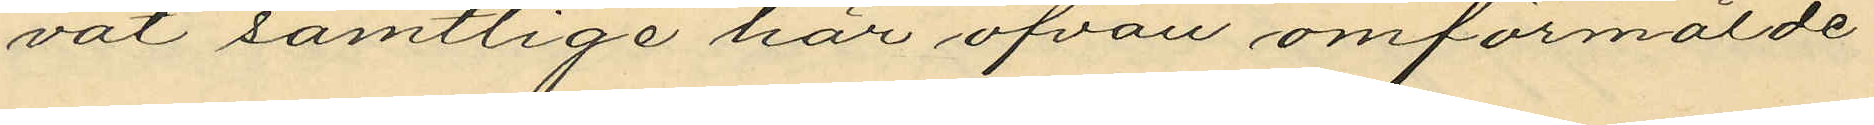vat samtlige här ofvan omförmälde
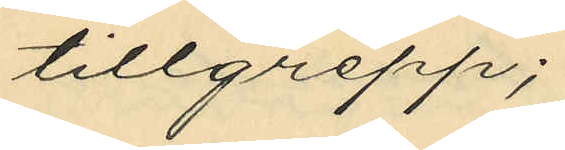tillgrepp;
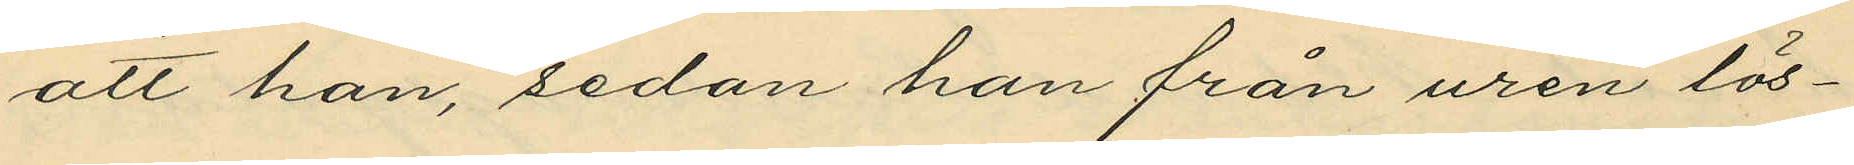att han, sedan han från uren lös¬
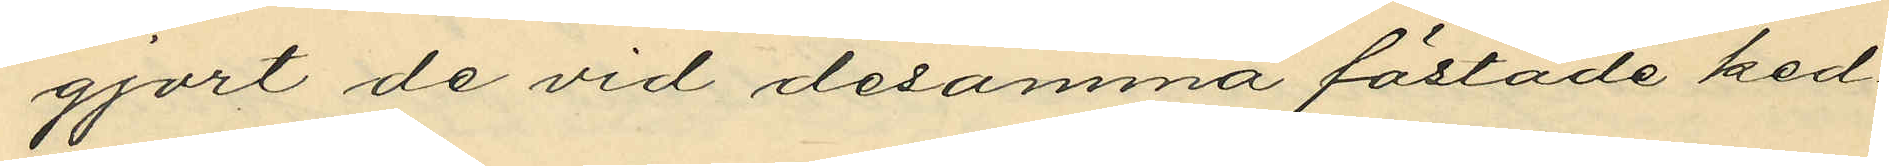gjort de vid desamma fästade ked¬
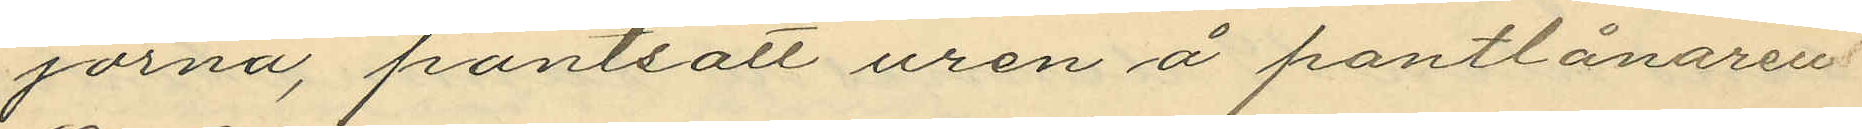jorna, pantsatt uren å pantlånaren
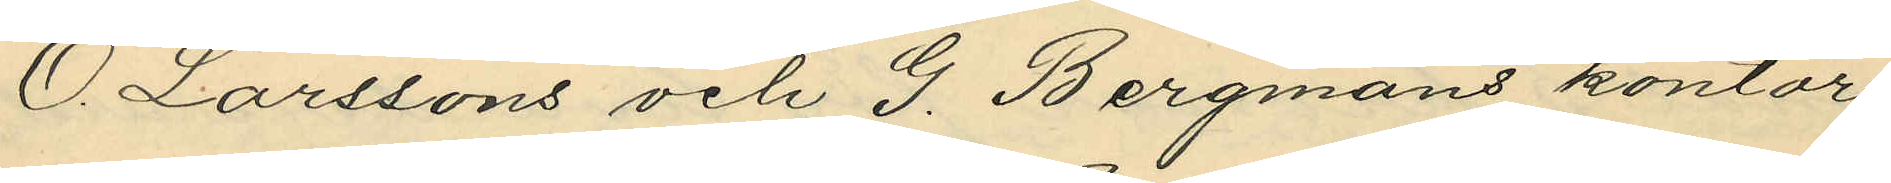O. Larssons och G. Bergmans kontor
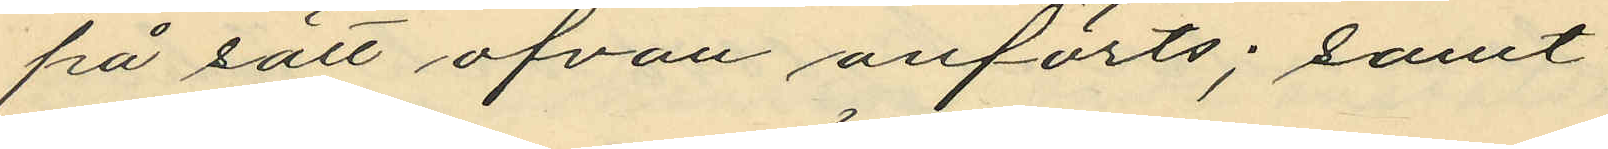på sätt ofvan anförts; samt
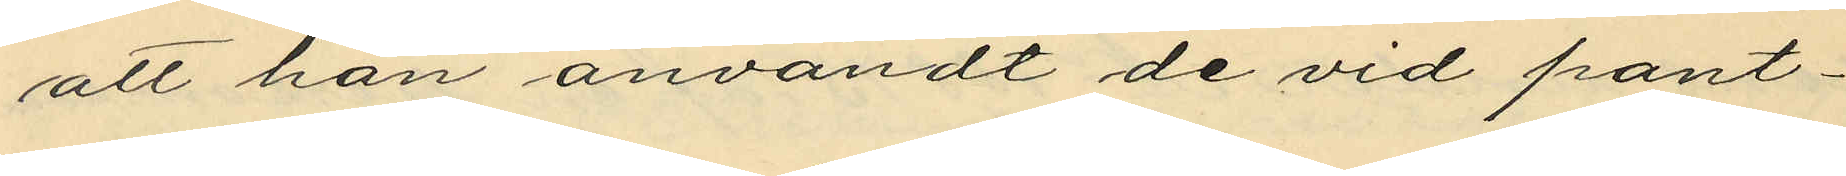att han användt de vid pant¬
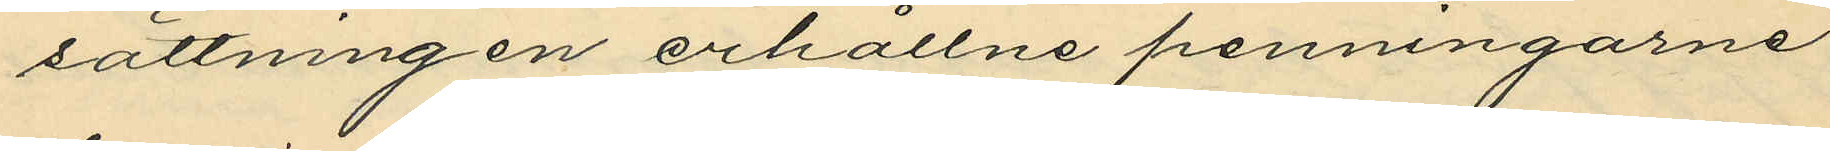sättningen erhållne penningarne
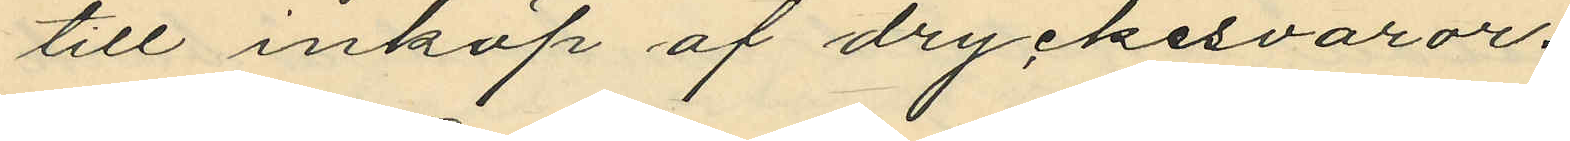till inköp af dryckesvaror.
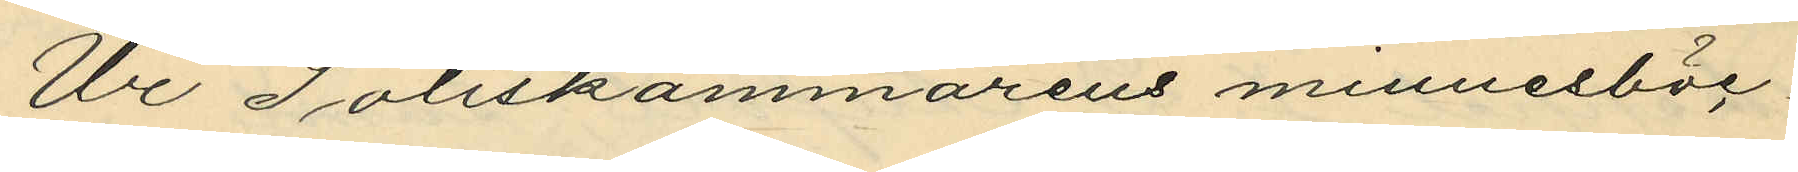Ur Poliskammarens minnesböc¬
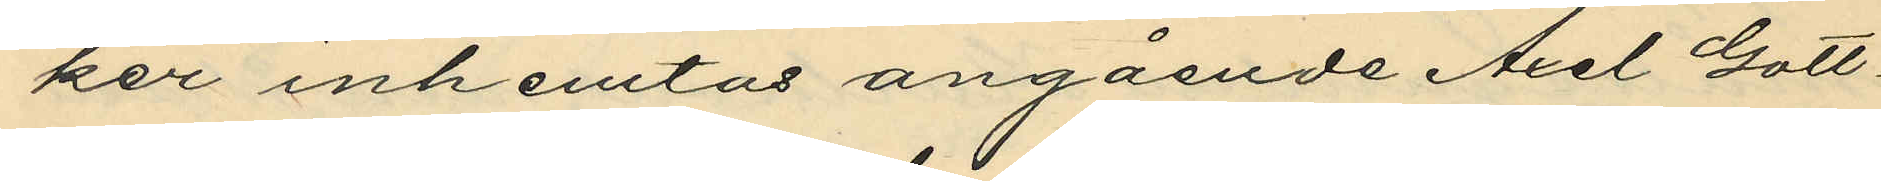ker inhemtas angående Axel Gott¬
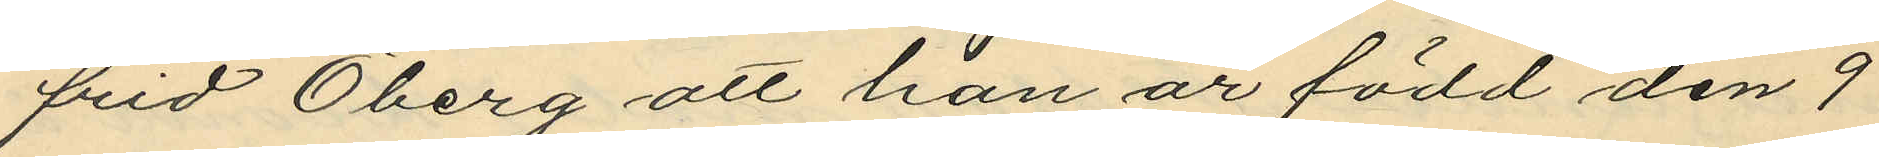frid Öberg att han är född den 9
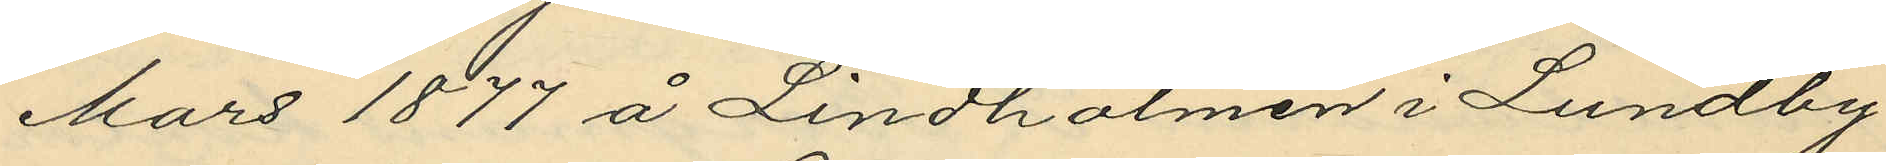Mars 1877 å Lindholmen i Lundby
